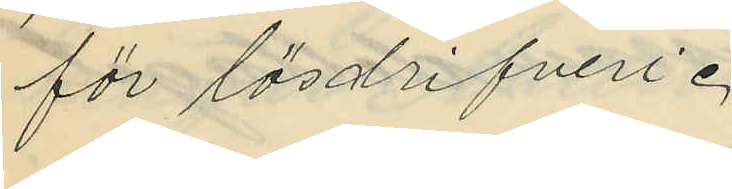för lösdrifveri.
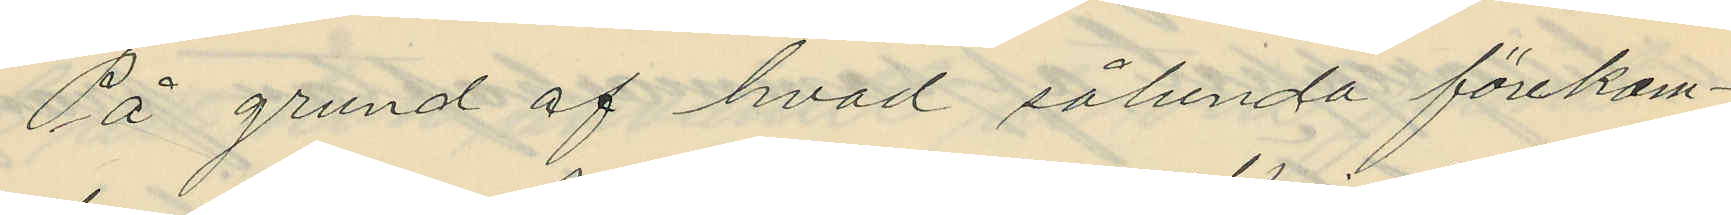På grund af hvad sålunda förekom¬
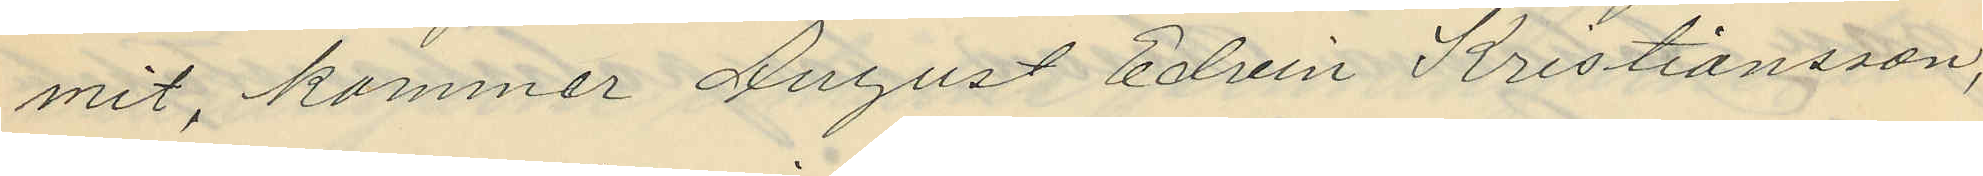mit, kommer August Edvin Kristiansson,
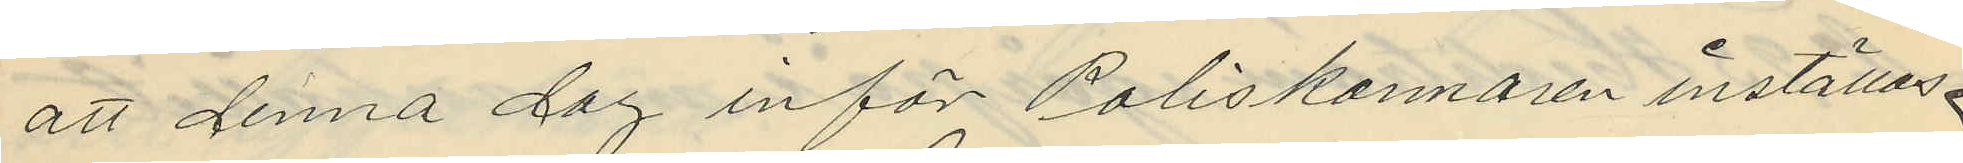att denna dag inför Poliskännaren inställas.
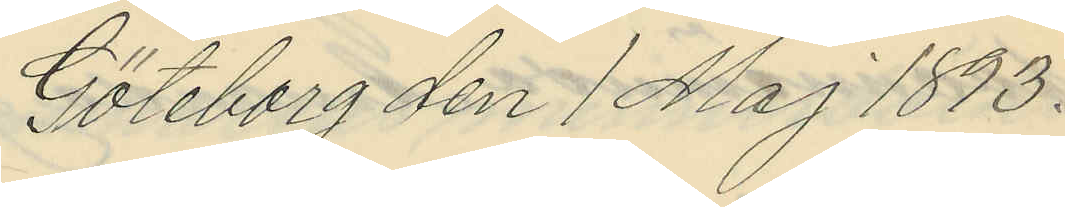Göteborg den 1 Maj 1893.
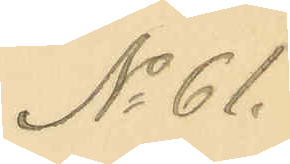No 61.
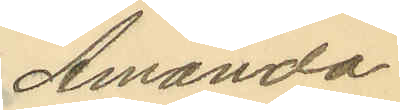Amanda
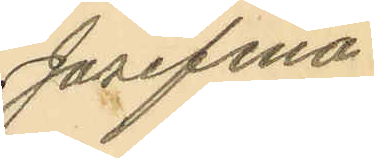Josefina
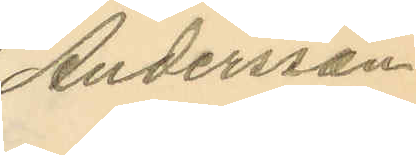Andersson
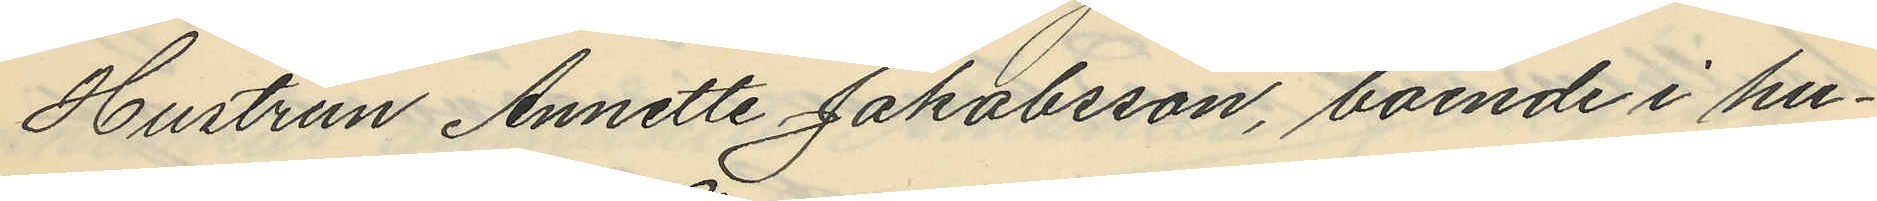Hustrun Annette Jakobsson, boende i hu¬
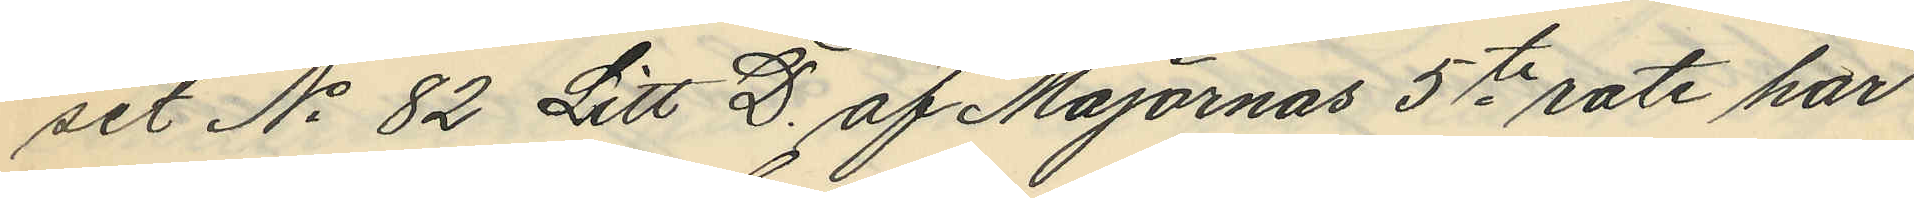set No 82 Litt D. af Majornas 5te rote har
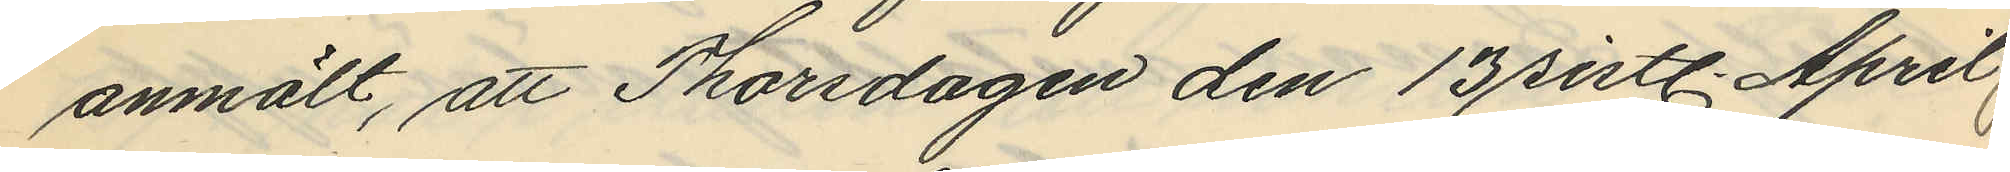anmält, att Thorsdagen den 13 sistl. April
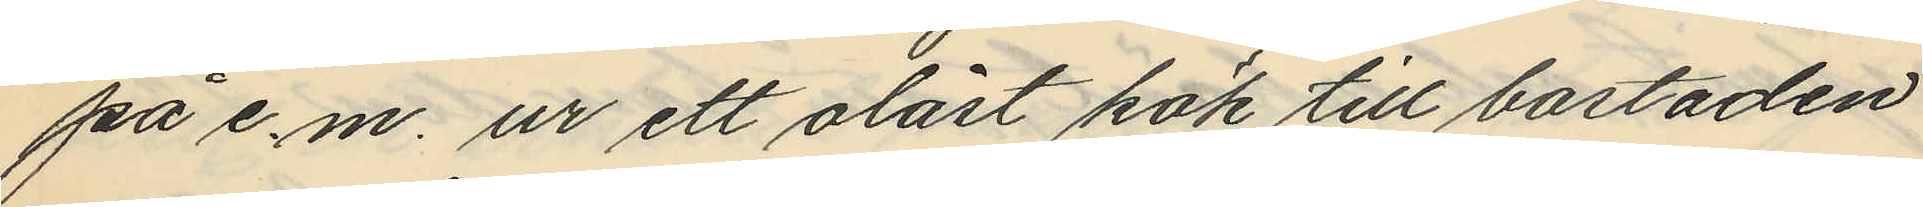på e.m. ur ett olåst kök till bostaden
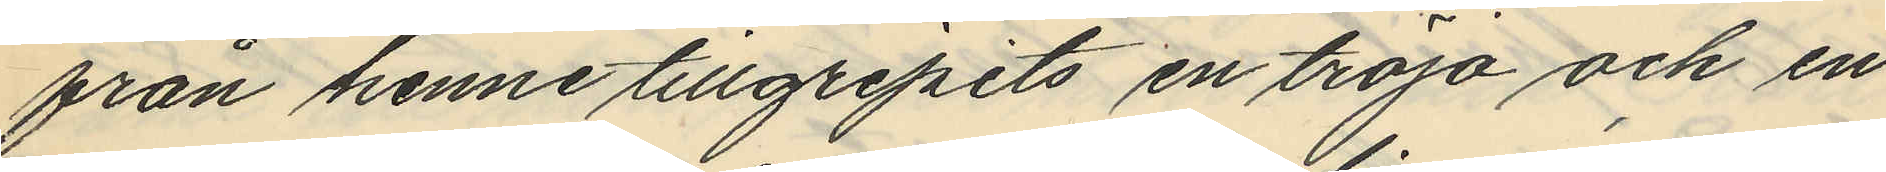från henne tillgripits en tröja och en
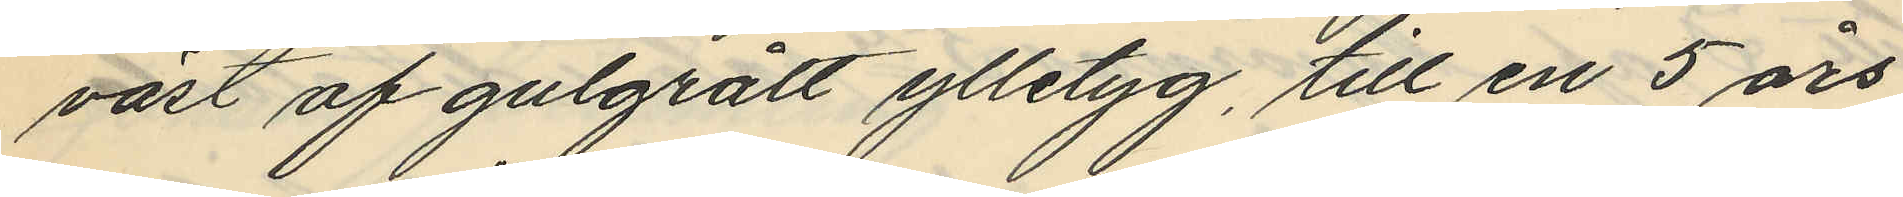väst af gulgrått ylletyg, till en 5 års
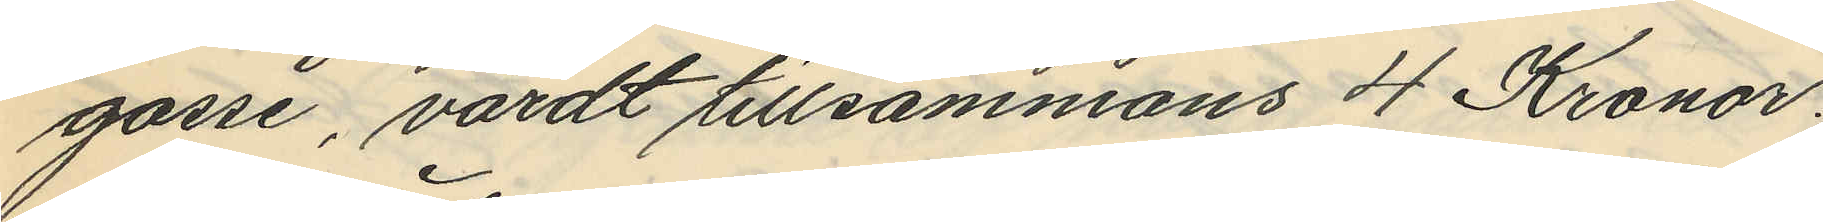gosse, värdt tillsammans 4 Kronor.
